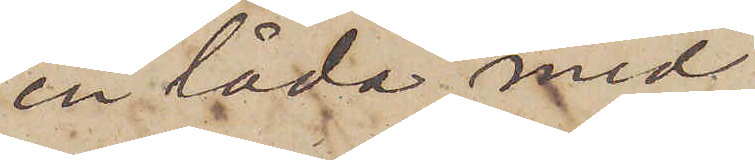en låda med
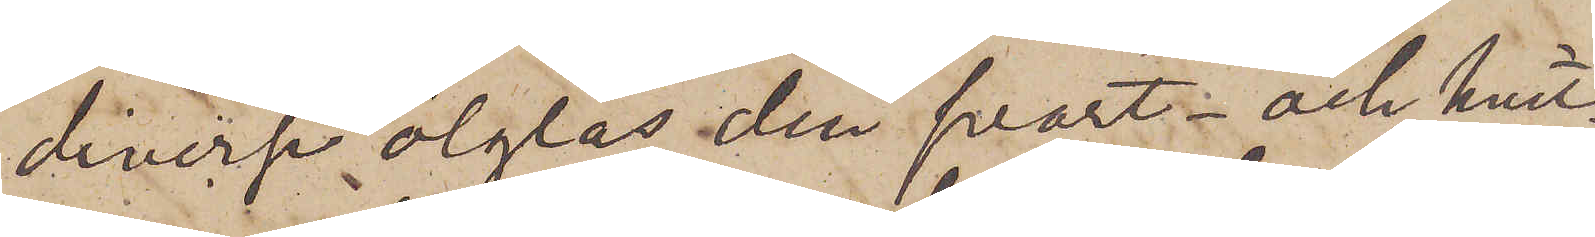diverse ölglas, den svart- och hvit¬
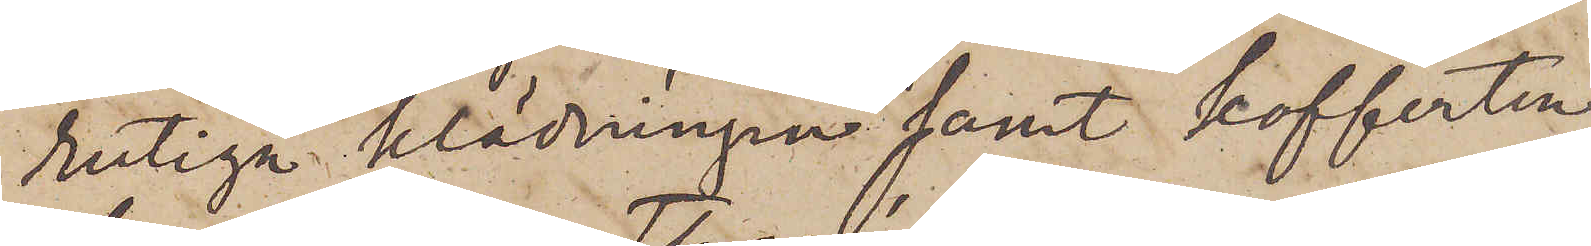rutiga klädningen samt kofferten,
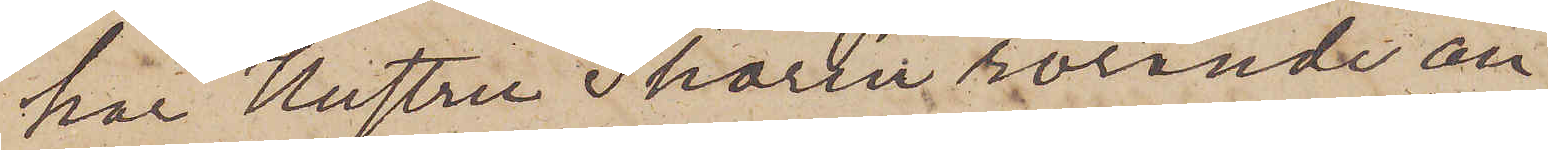har Hustru Thorén rörande an¬
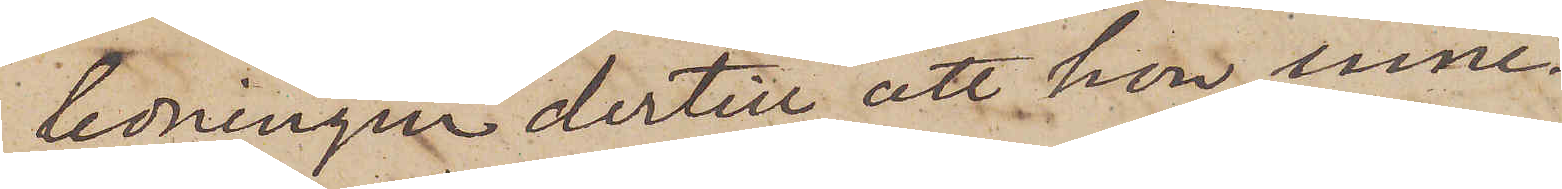ledningen dertill, att hon inne¬
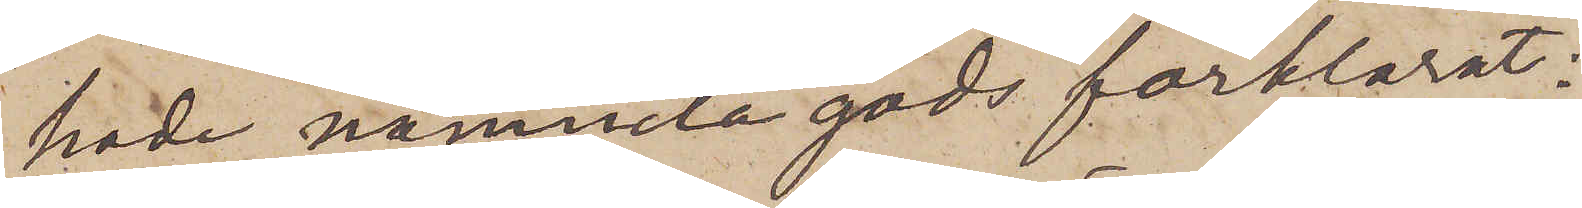hade nämnda gods förklarat:
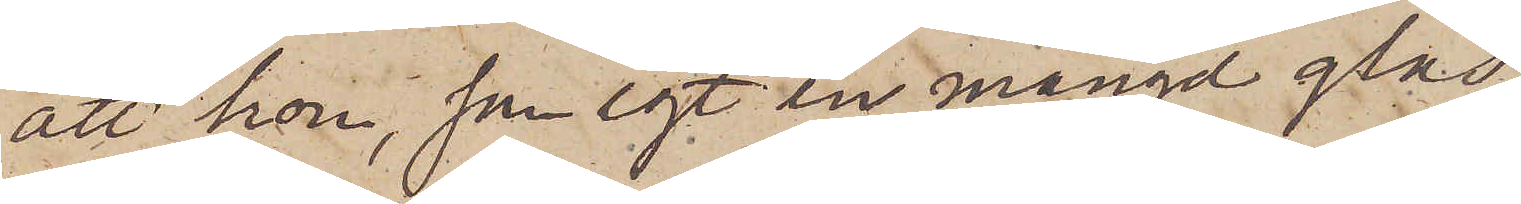att hon, som egt en mängd glas¬
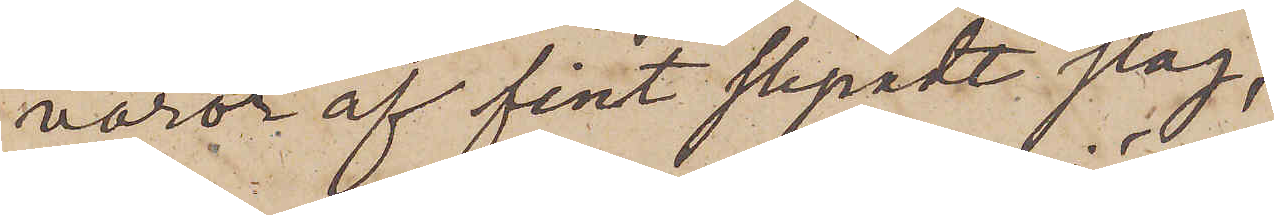varor af fint slipadt slag,
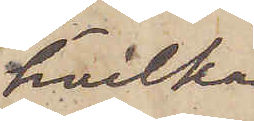hvilka
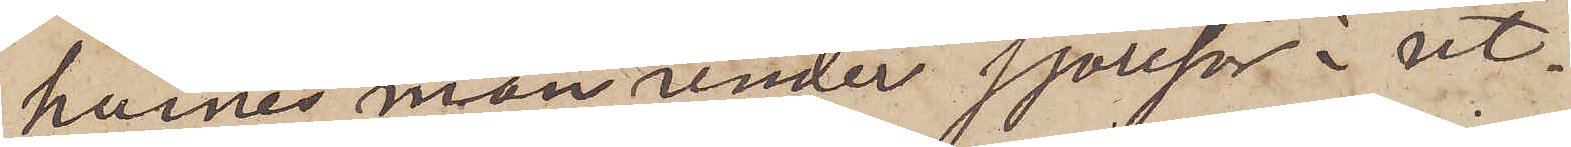hennes man under sjöresor i ut¬
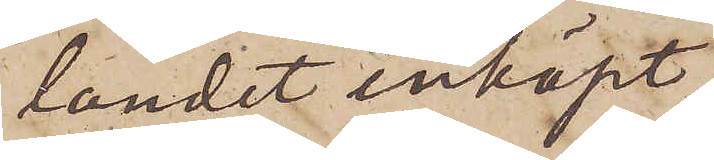landet inköpt,
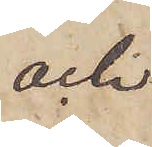och
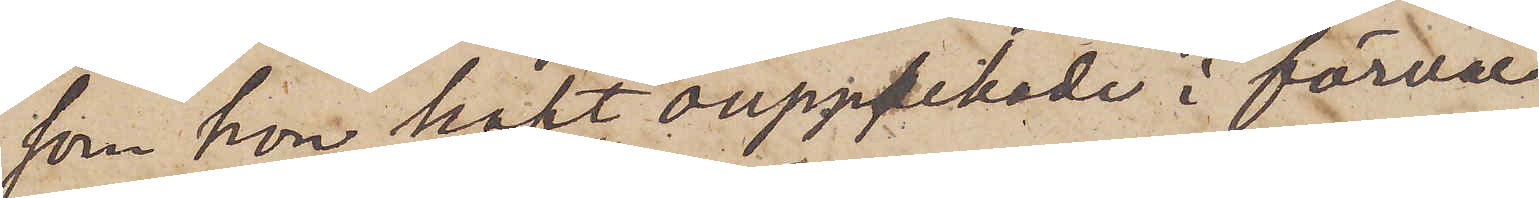som hon haft oupppackade i förvar
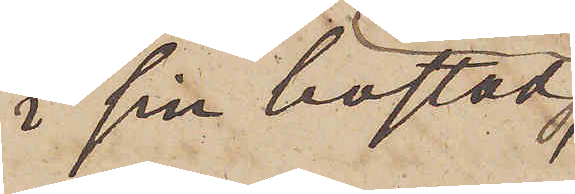i sin bostad
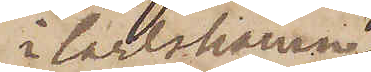i Carlshamn,
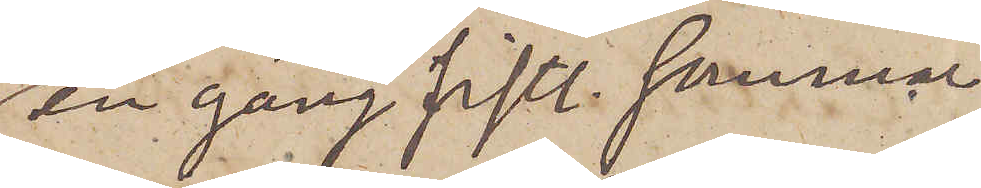en gång sistl. sommar
